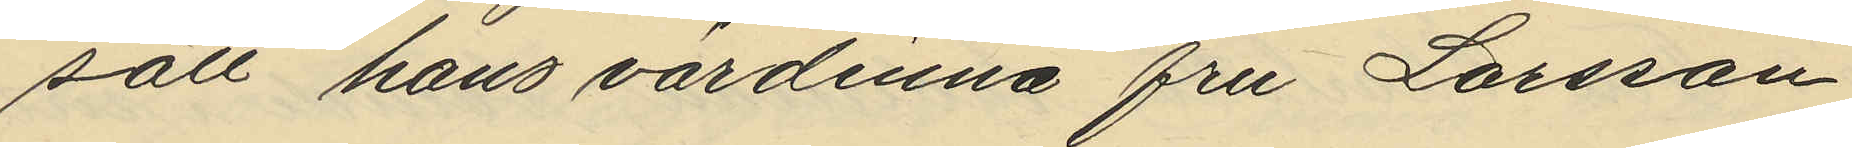sätt hans värdinna fru Larsson
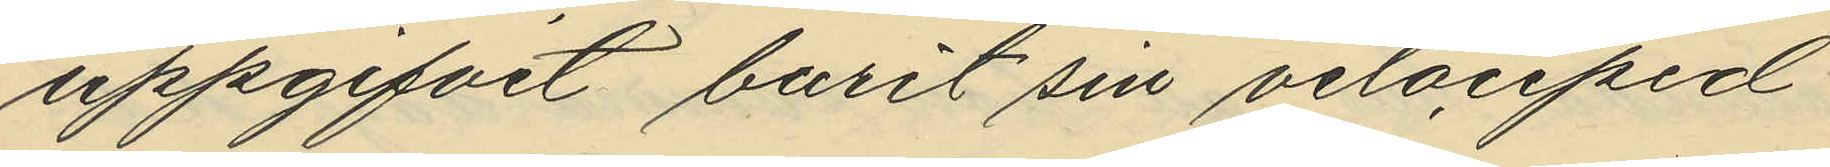uppgifvit burit sin velociped
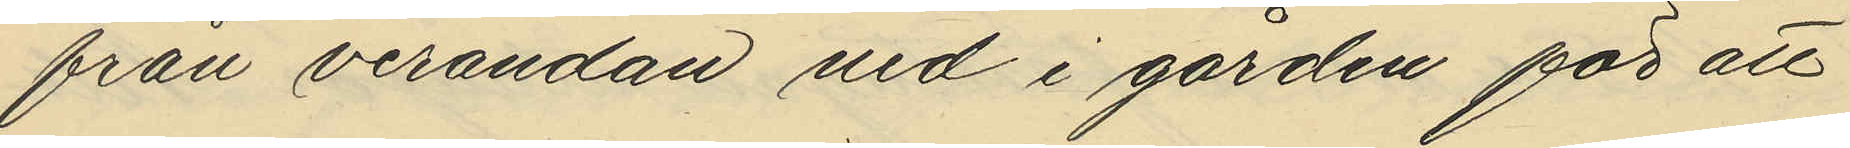från verandan vid i gården för att
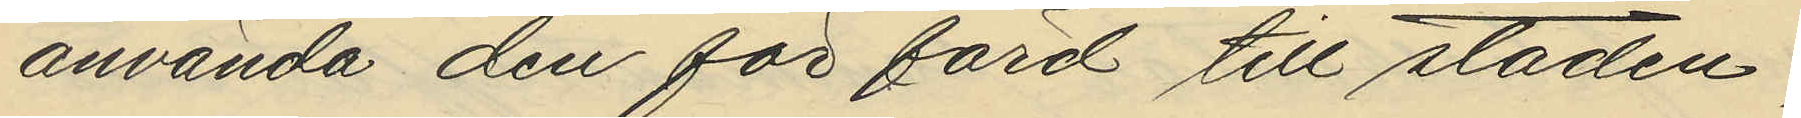använda den för färd till staden,
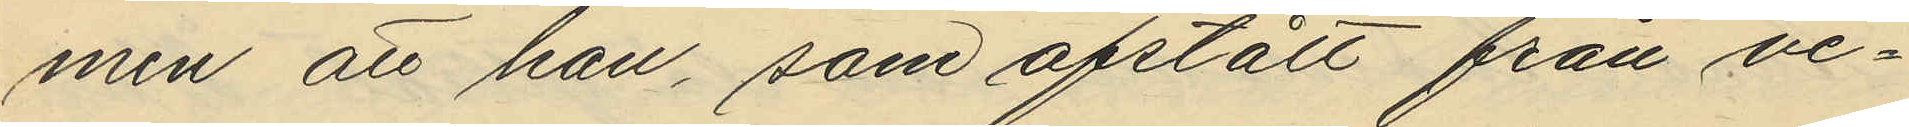men att han, som afstått från ve¬
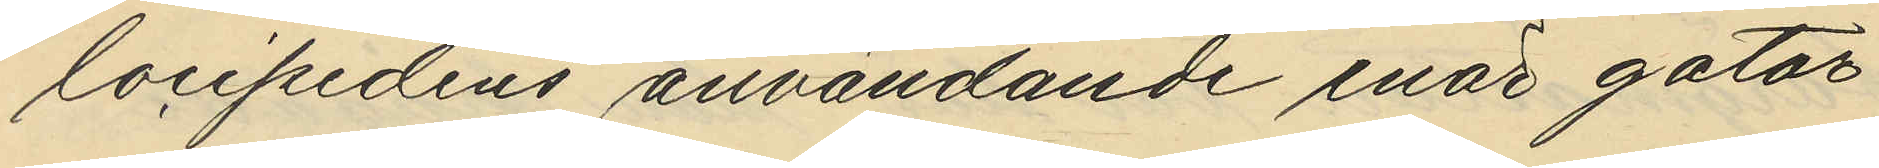locipedens användande enär gator
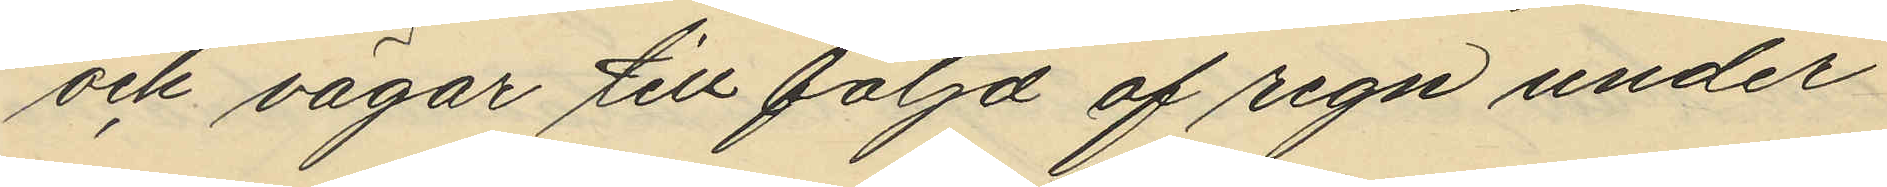och vägar till följd af regn under
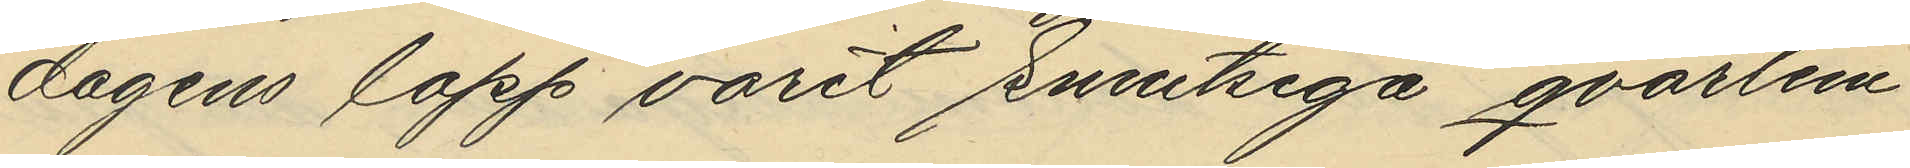dagens lopp varit smutsiga qvarlem¬
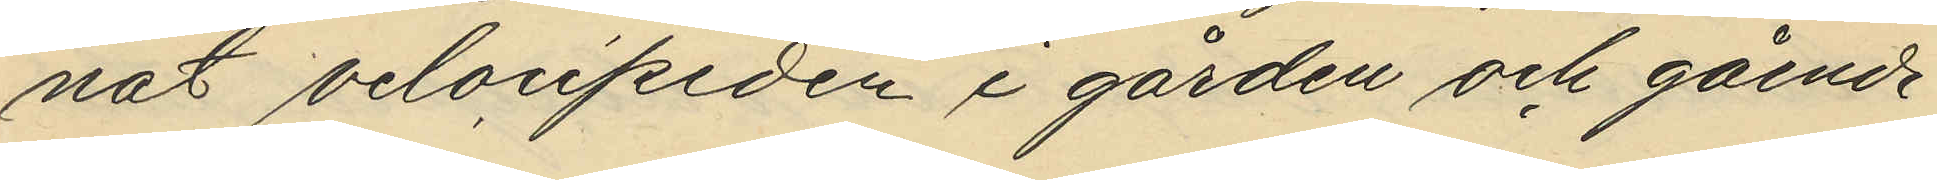nat velocipeden i gården och gående
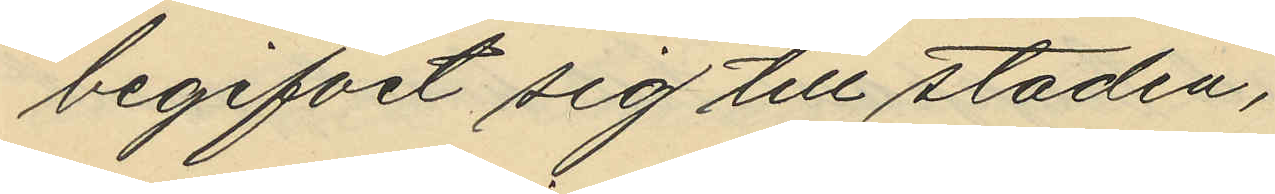begifvit sig till staden,
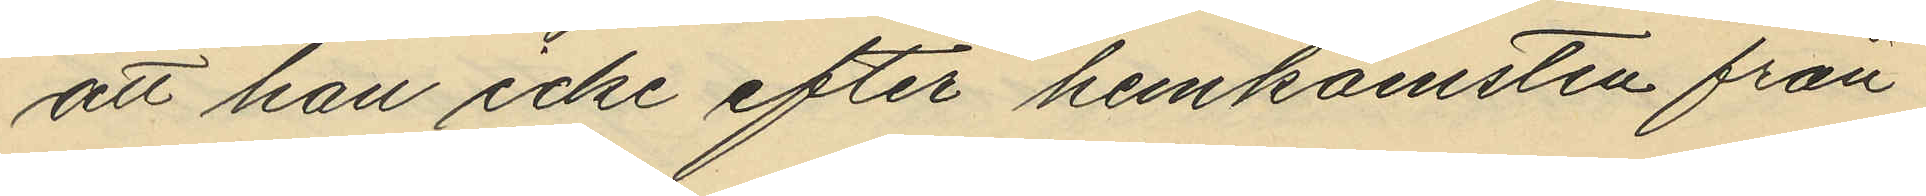att han icke efter hemkomsten från
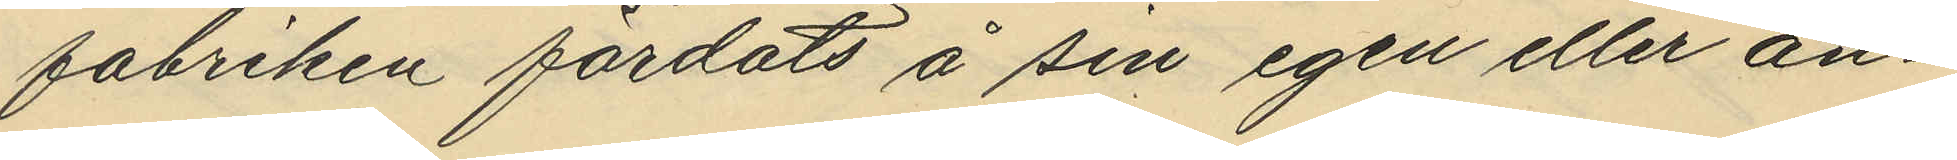fabriken färdats å sin egen eller an¬
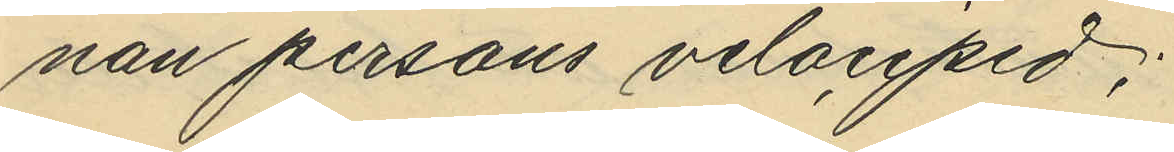nan persons velociped;
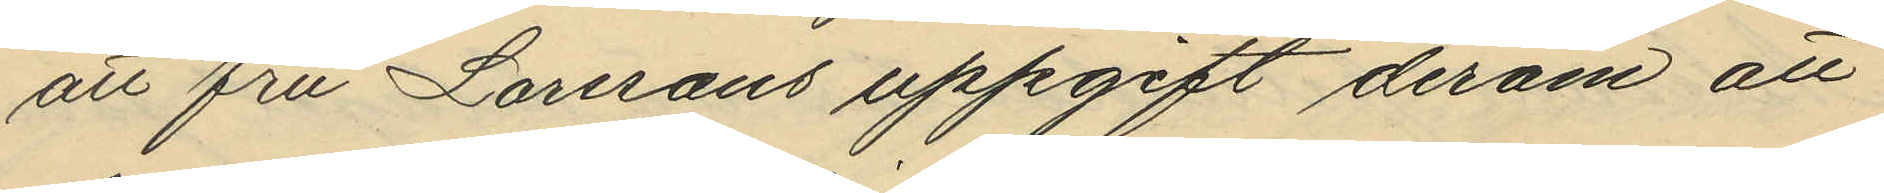att fru Larssons uppgift derom att
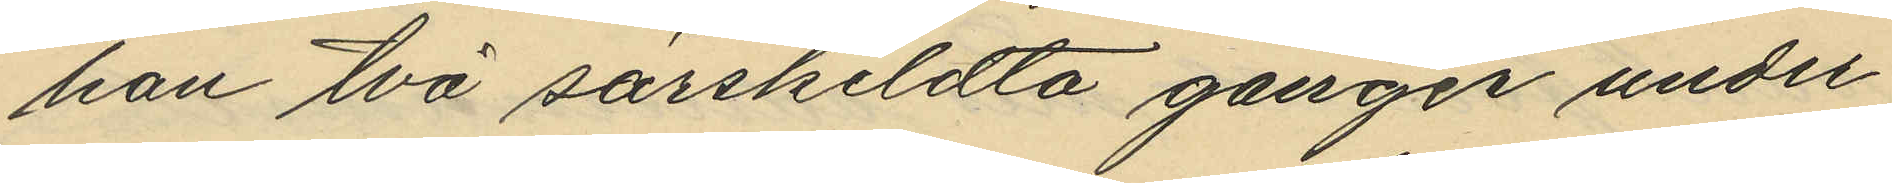han två särskildta gånger under
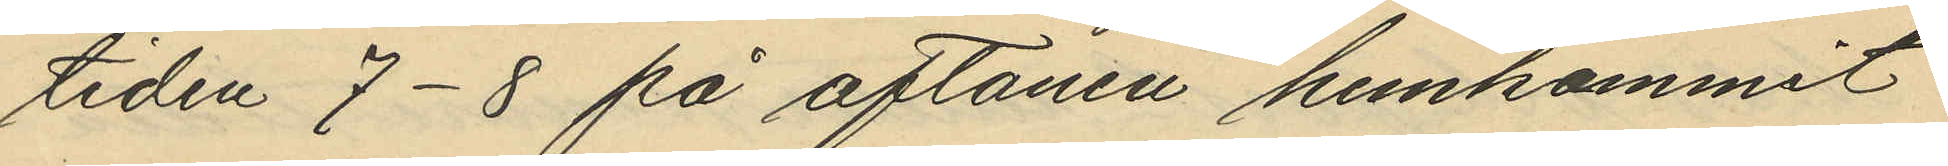tiden 7-8 på aftonen hemkommit
